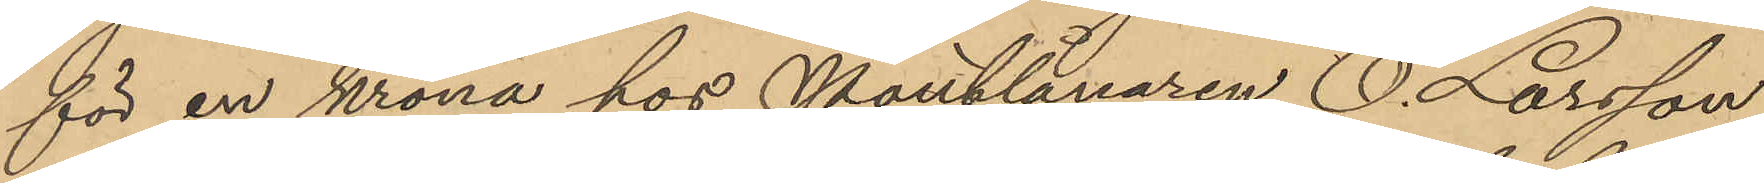för en krona hos Pantlånaren O. Larsson
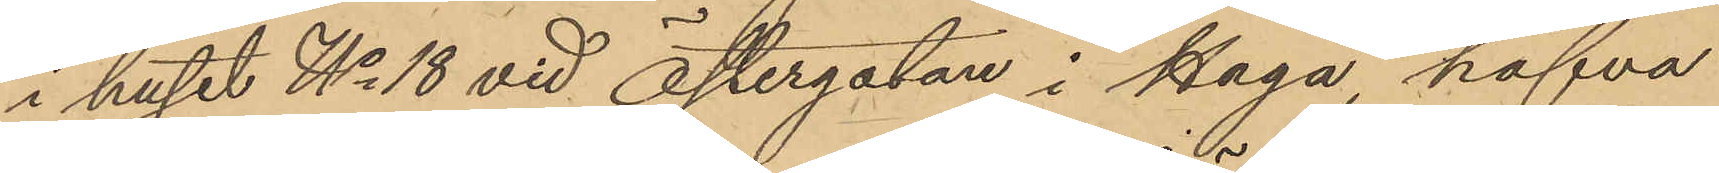i huset No 18 vid Östergatan i Haga, hafva
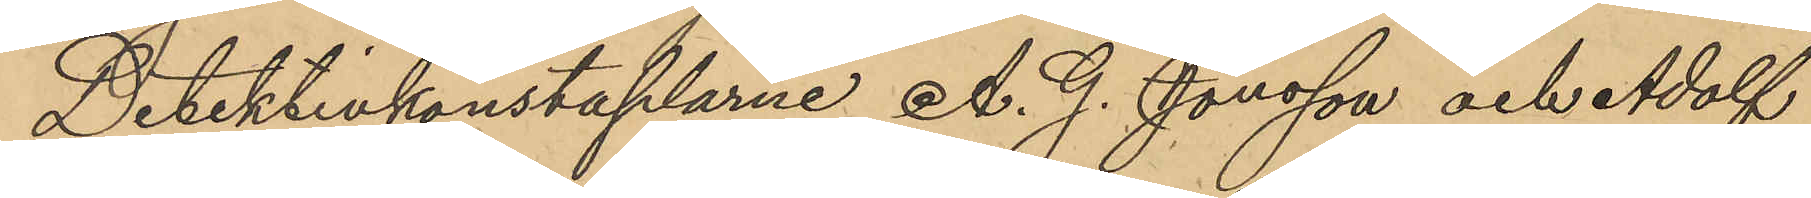Detektivkonstaplarne A. G. Jönsson och Adolf
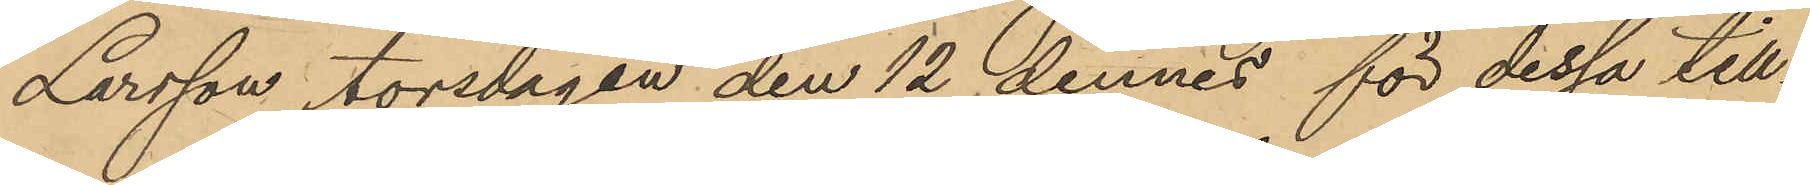Larsson torsdagen den 12 dennes för dessa till¬
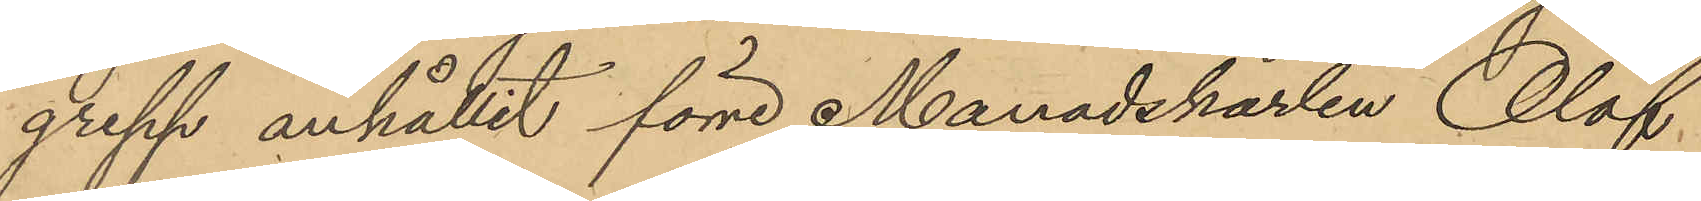grepp anhållit förre Manadskarlen Olof
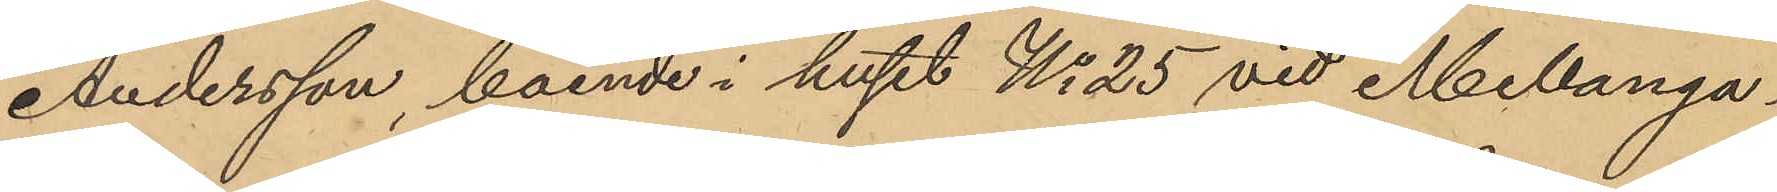Andersson, boende i huset No 25 vid Mellanga¬
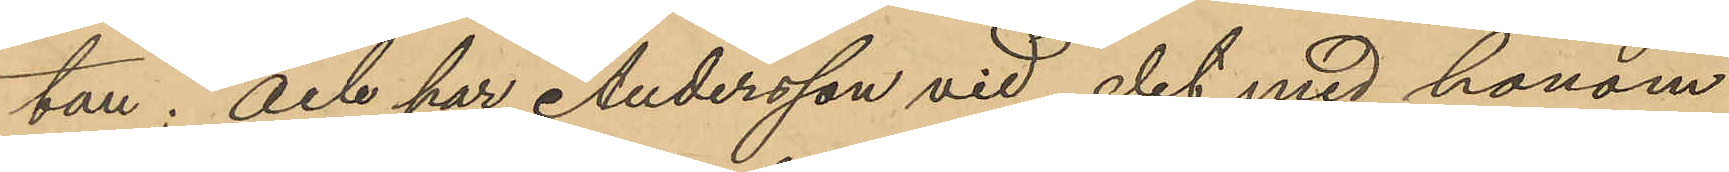tan; och har Andersson vid det med honom
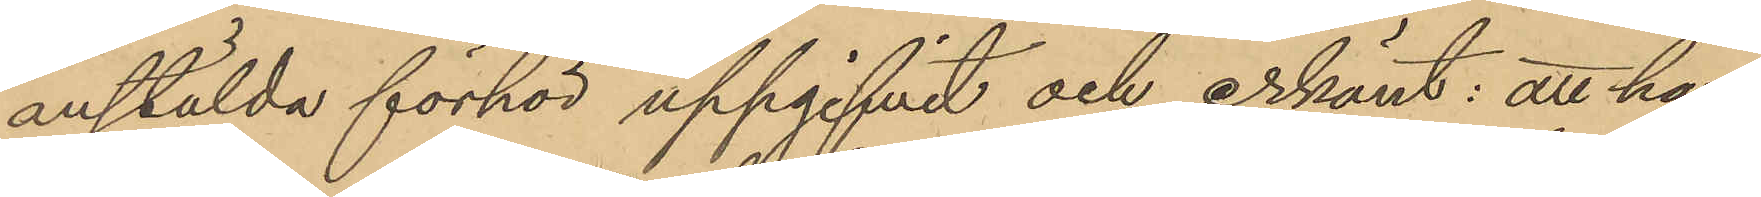anstälda förhör uppgifvit och erkänt: att han
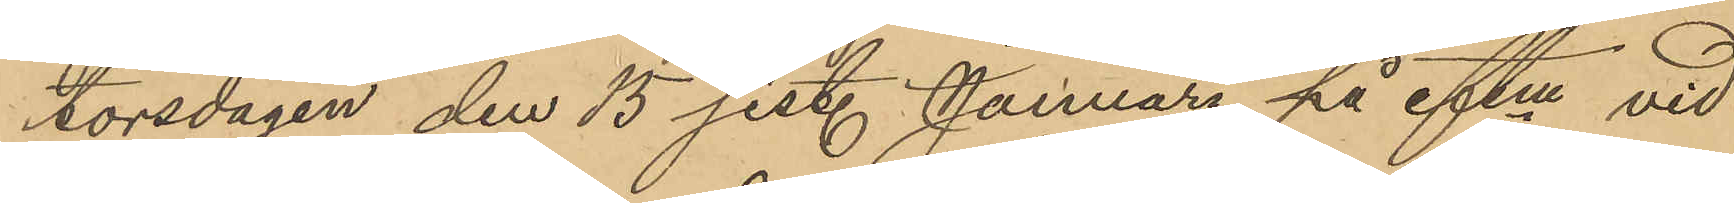torsdagen den 15 sist. Januari på eftm vid
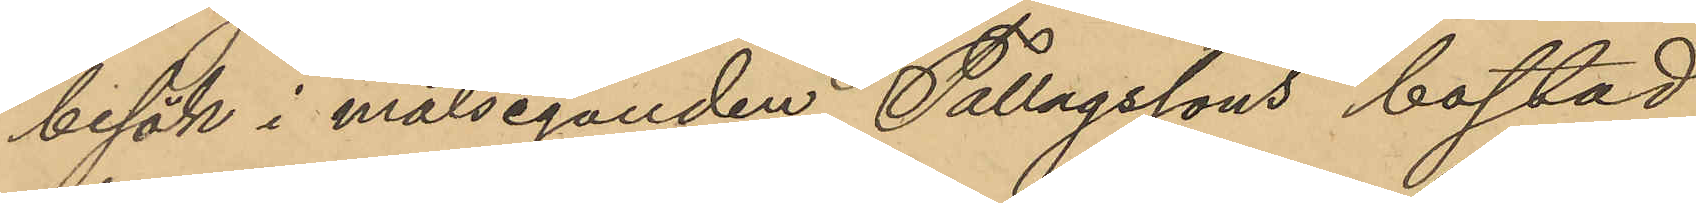besök i målseganden Fallagssons bostad
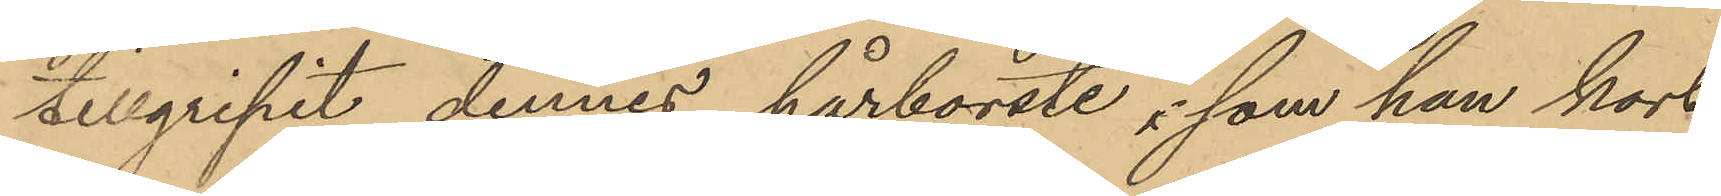tillgripit dennes hårborste, som han kort
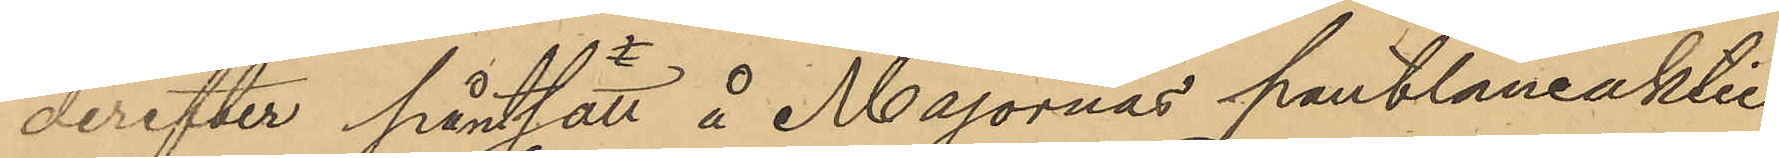derefter pantsatt å Majornas pantlåneaktie¬
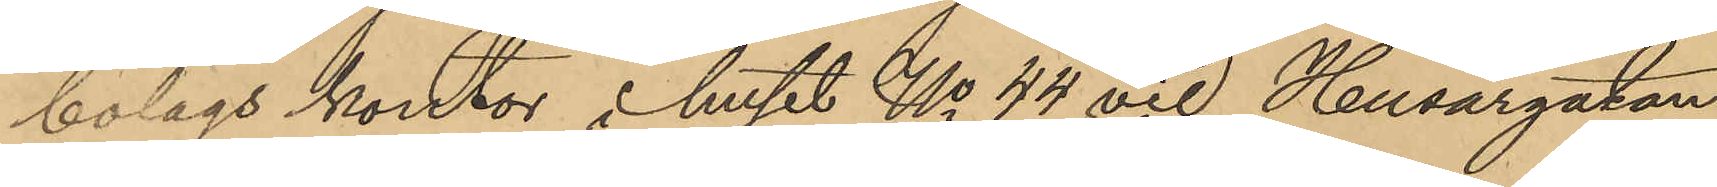bolags kontor i huset No 44 vid Husargatan
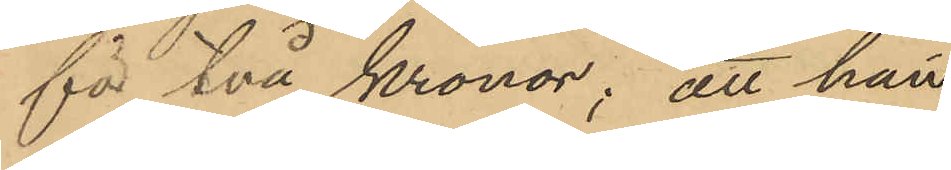för två Kronor; att han
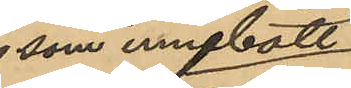som innebott
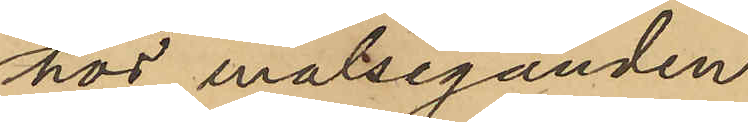hos målseganden
